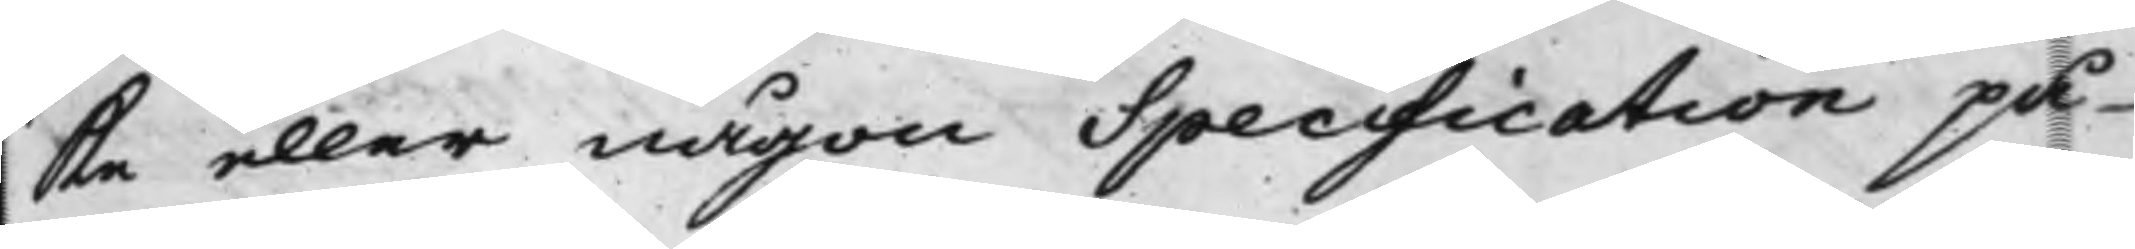ke eller någon Specification på
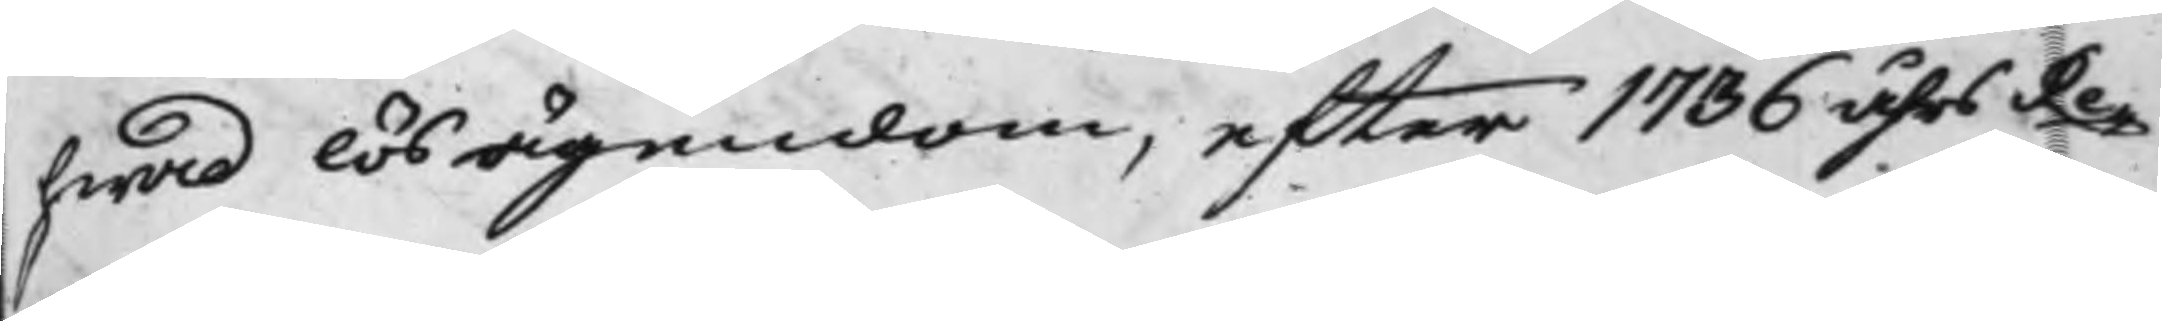hwad lös ägendom, efter 1736 åhrs Re¬
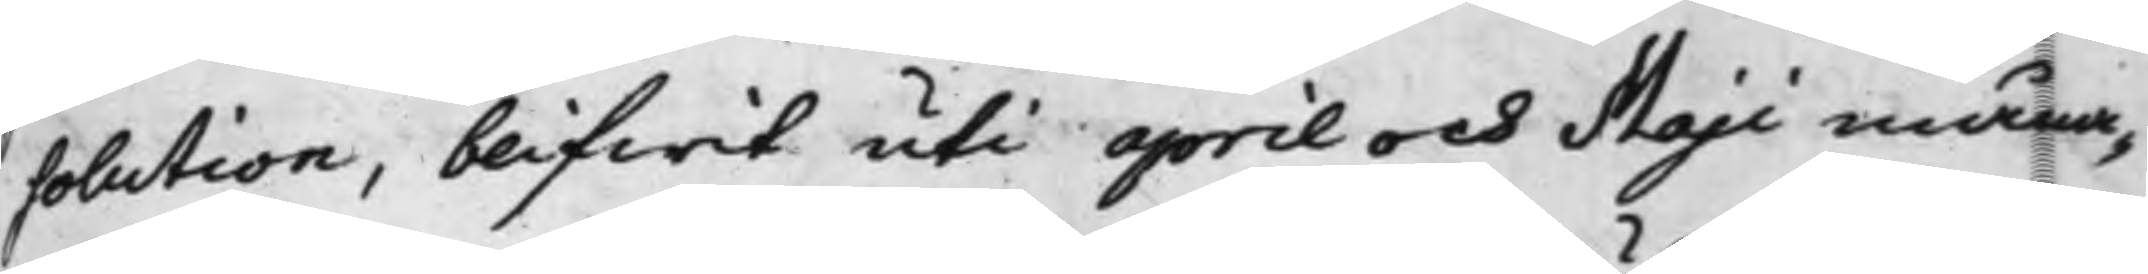solution, blifwit uti april och Maji måna¬
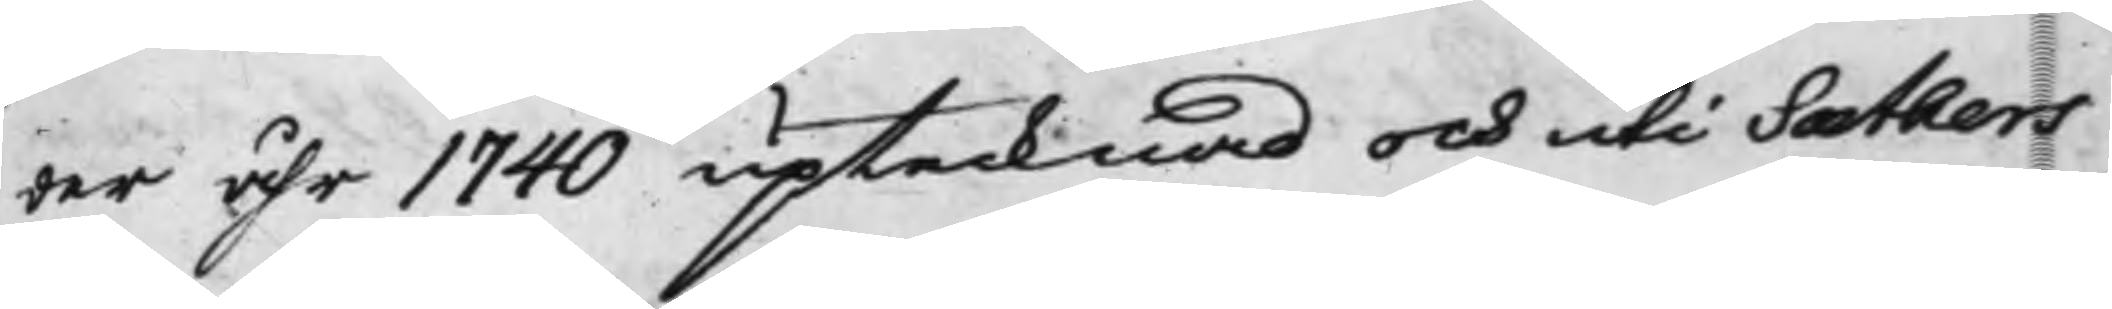der åhr 1740 uptecknad och uti Sæthers
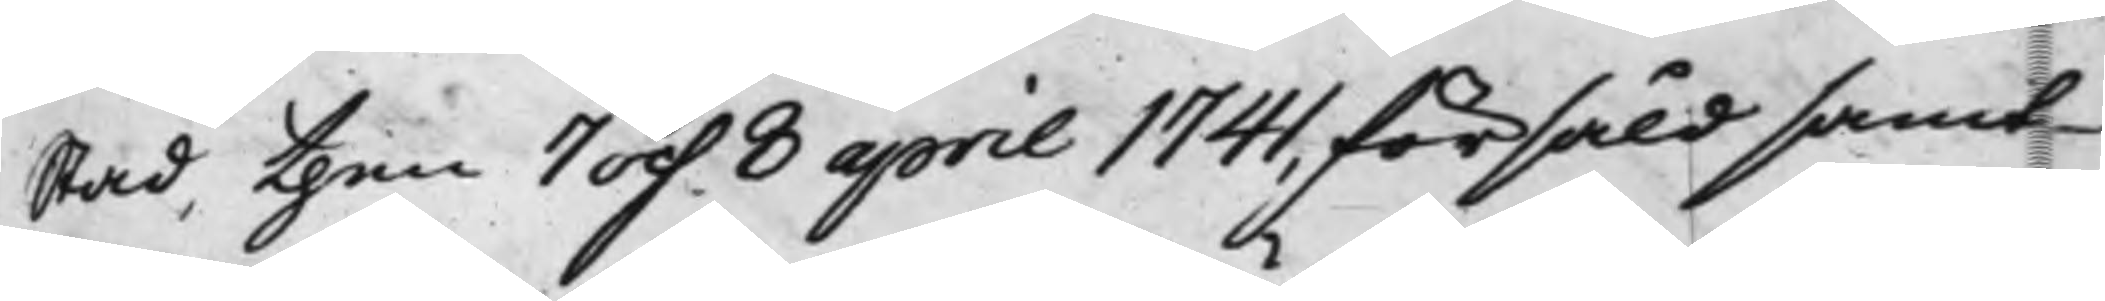stad, then 7 och 8 april 1741, försåld samt
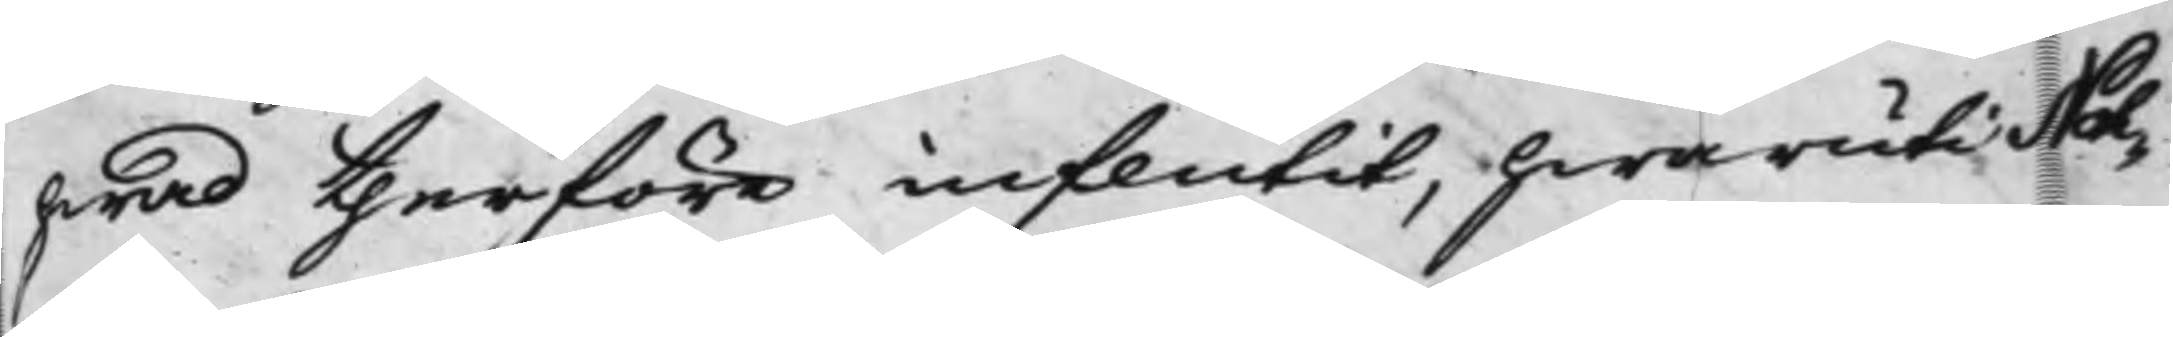hwad therföre influtit, hwaruti Noh¬
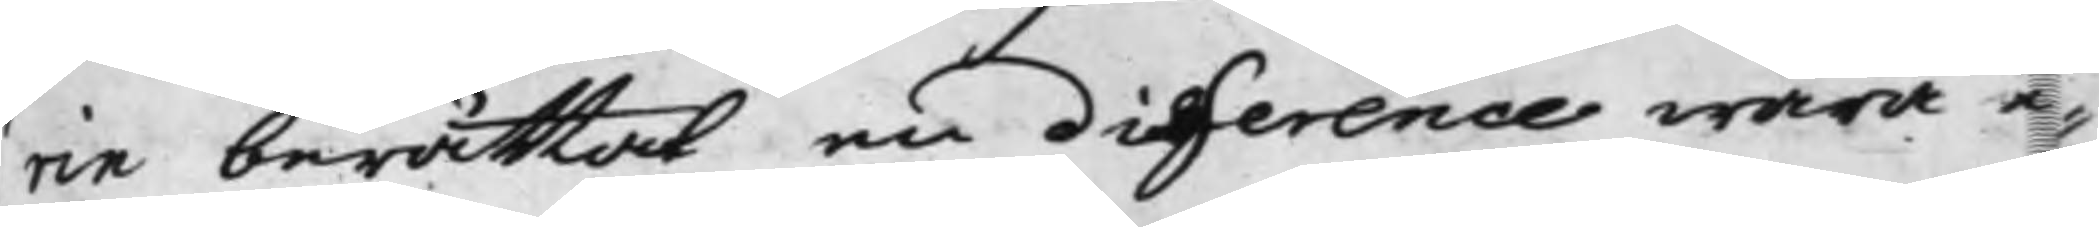rin berättat en difference wara e¬
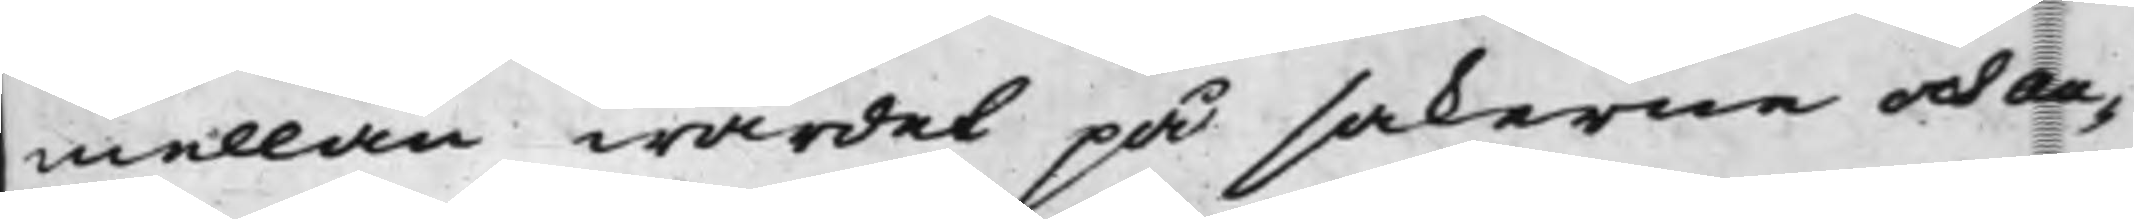mellan wärdet på sakerne och Au¬
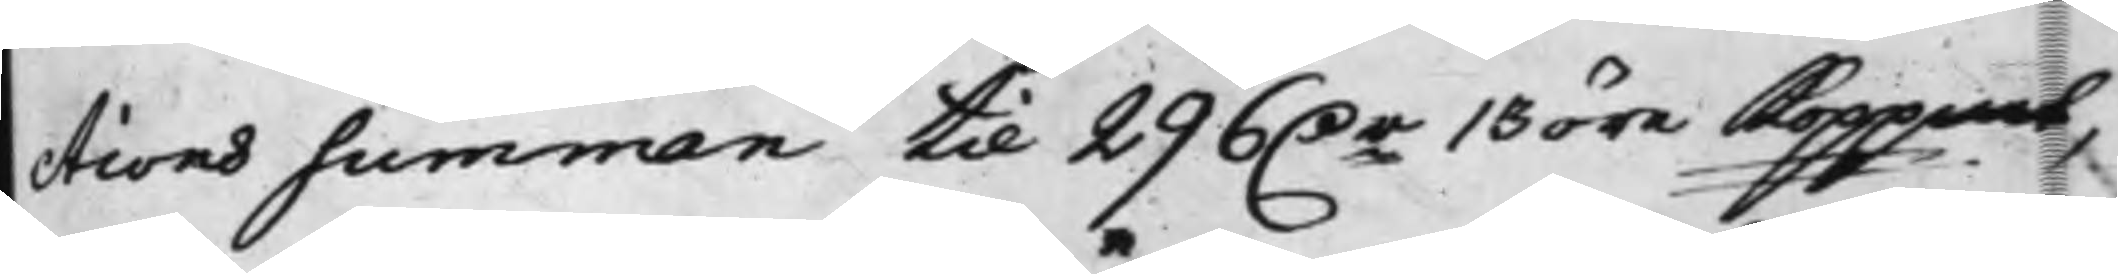ctions summan till 296 D.r 13 öre Koppmt,
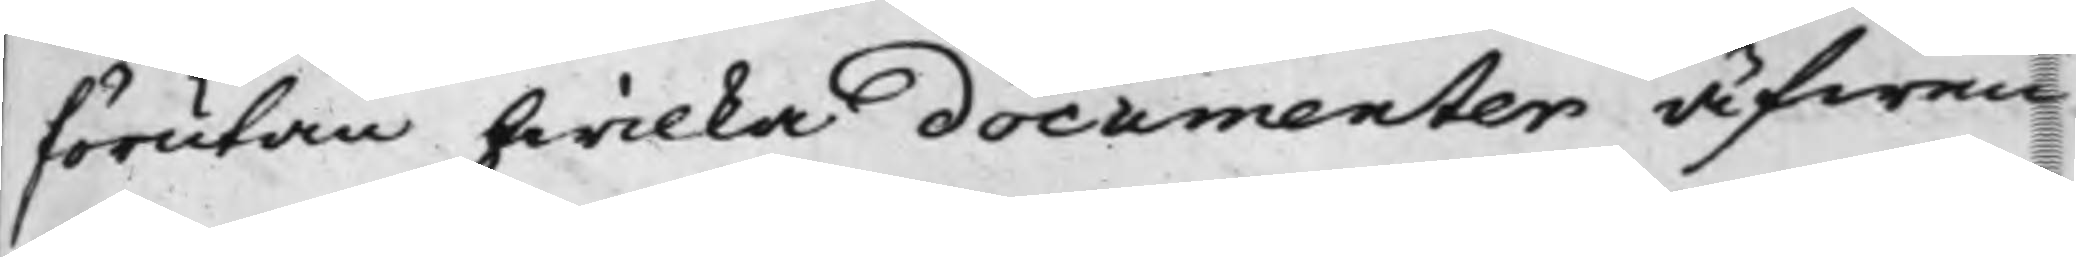förutan hwilka documenter äfwen
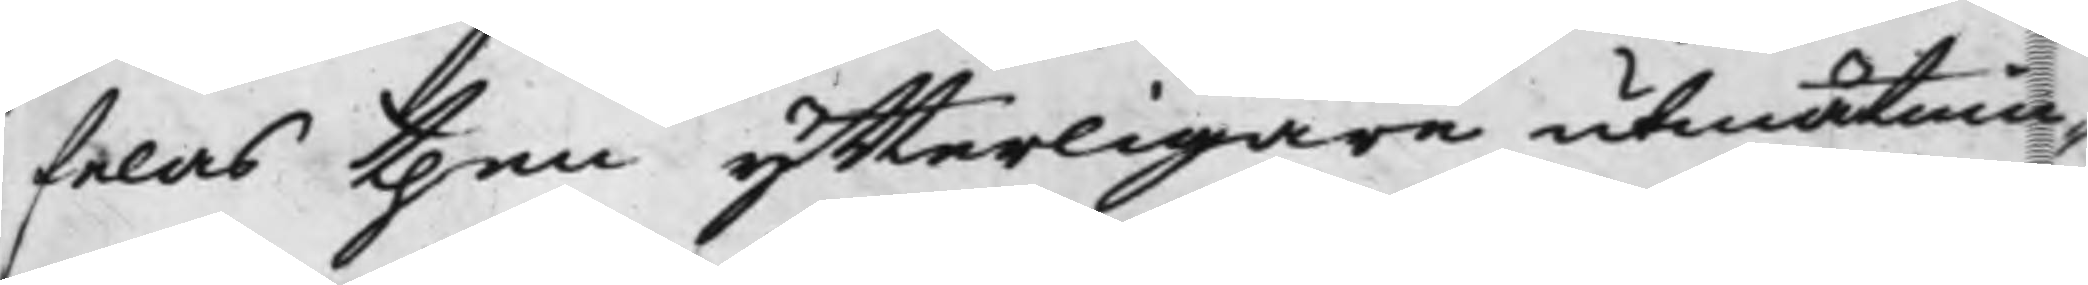felas then ytterligare utmätnin¬
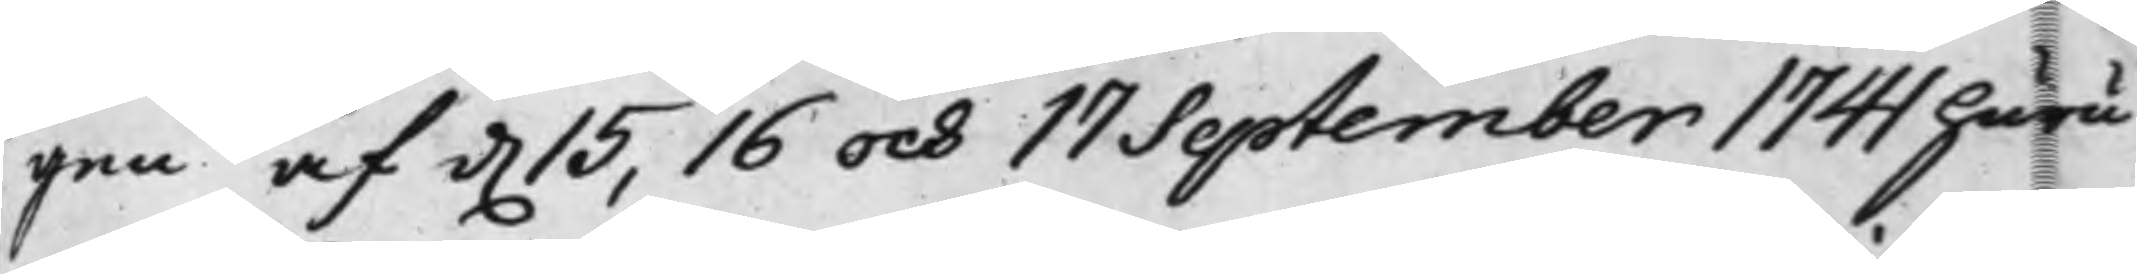gen af d. 15, 16 och 17 September 1741 huru
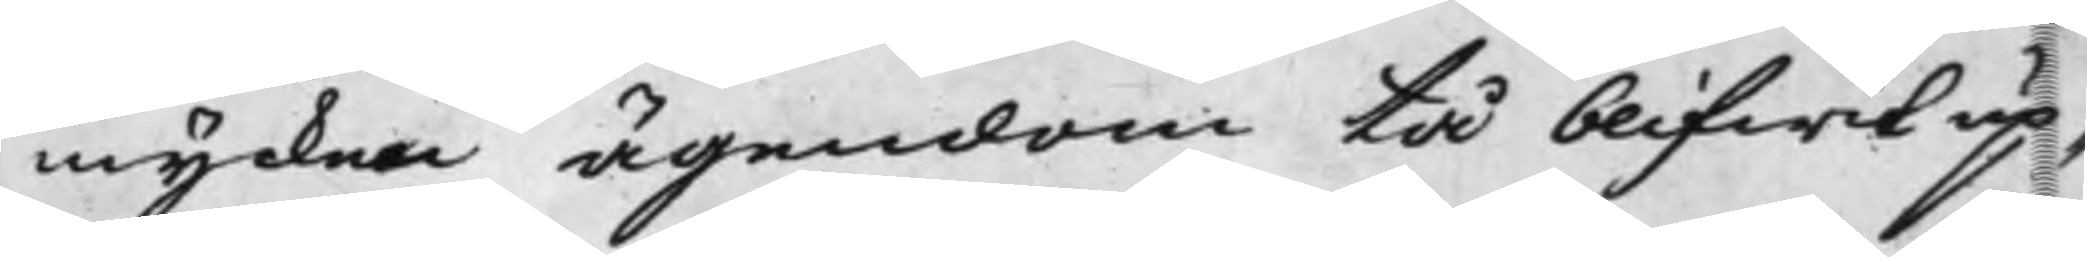mycken ägendom tå blifwit up¬
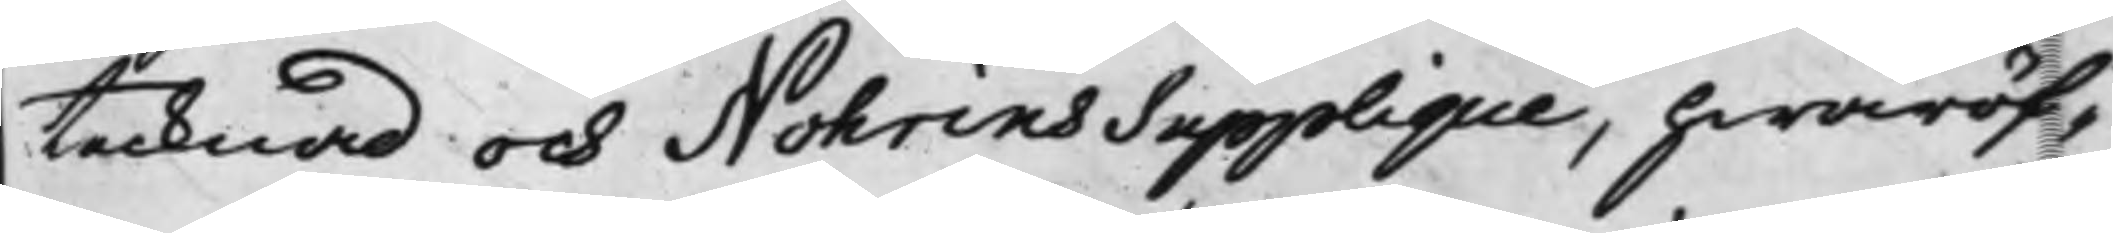tecknad och Nohrins Supplique, hwaröf¬
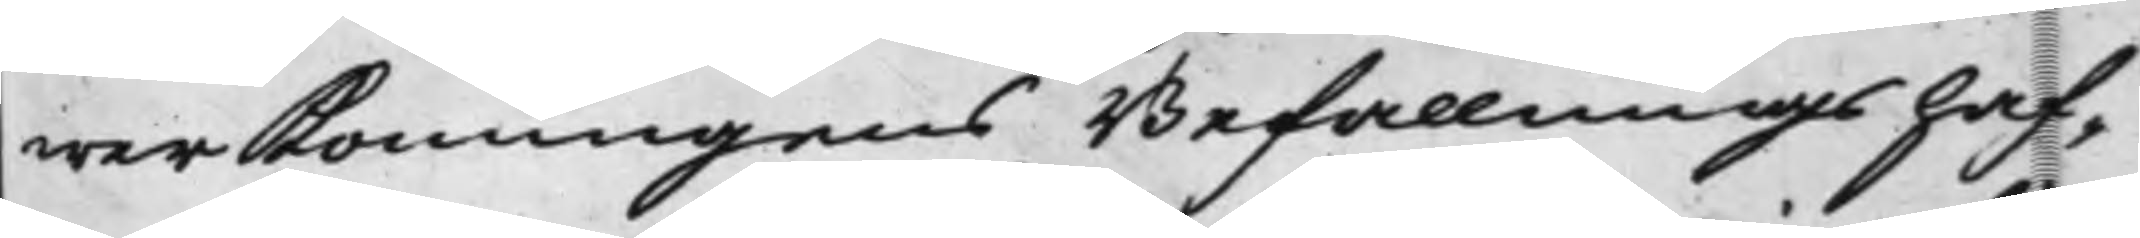wer Konungens Befallningshaf¬
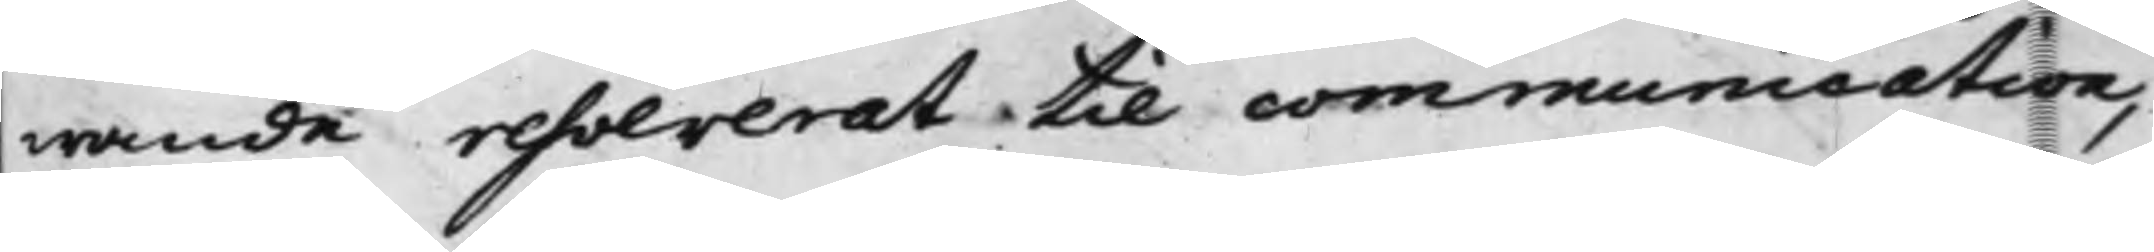wande resolverat til communication,
